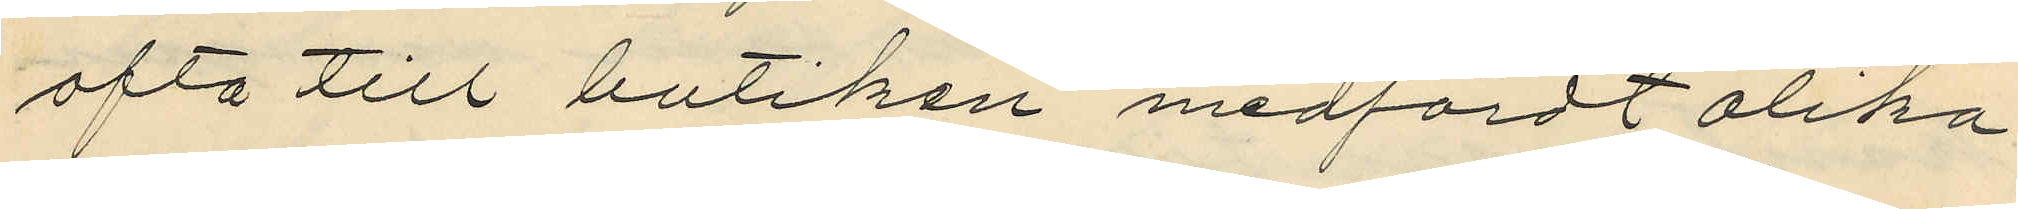ofta till butiken medfördt olika
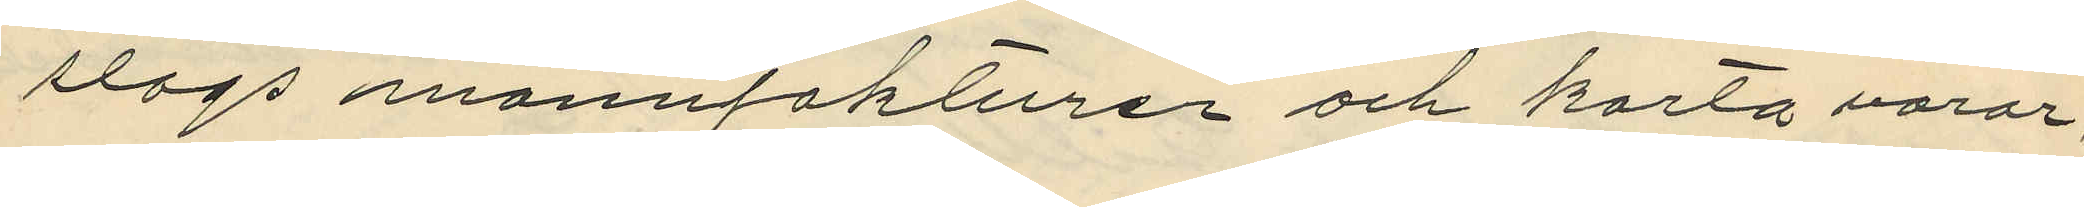slags manufakturer och korta varor
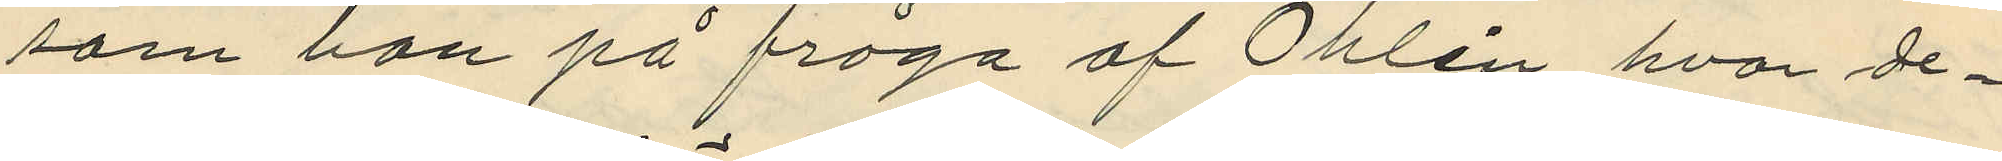som han på fråga af Öhlen hvar de¬
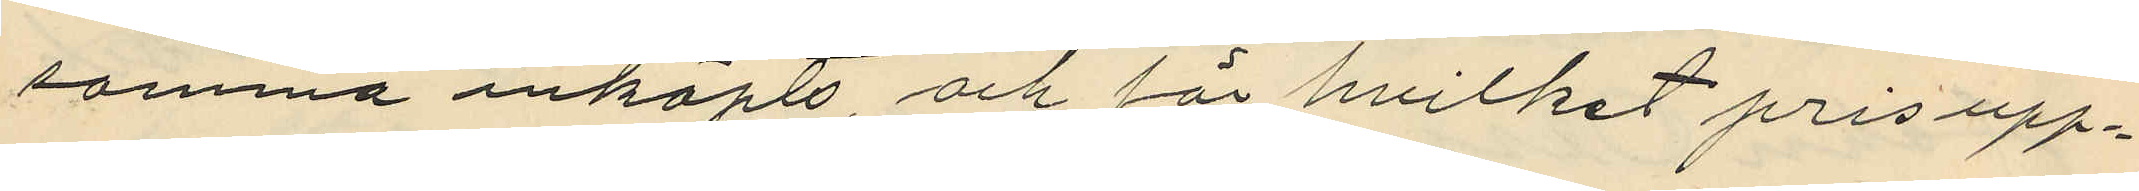samma inköpts, och för hvilket prisupp¬
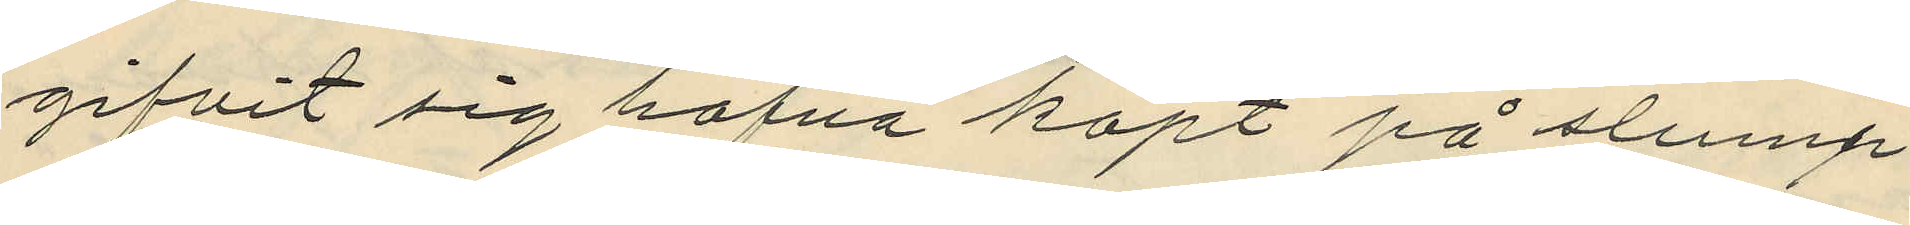gifvit sig hafva köpt på slump
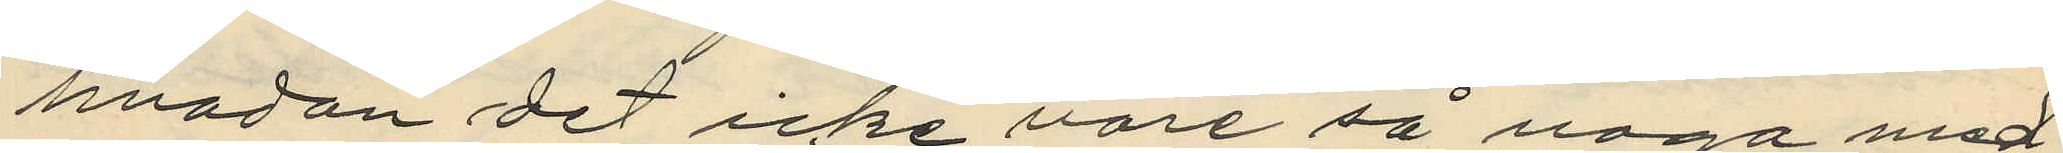hvadan det icke vore så noga med
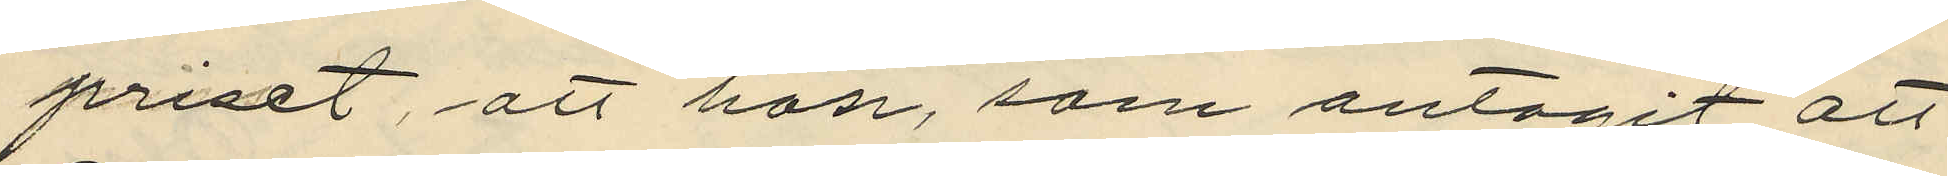priset, att hon, som antagit att
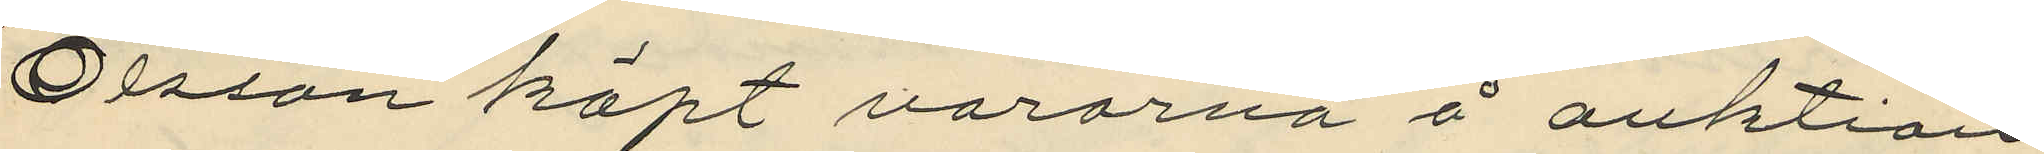Olsson köpt varorna å auktion
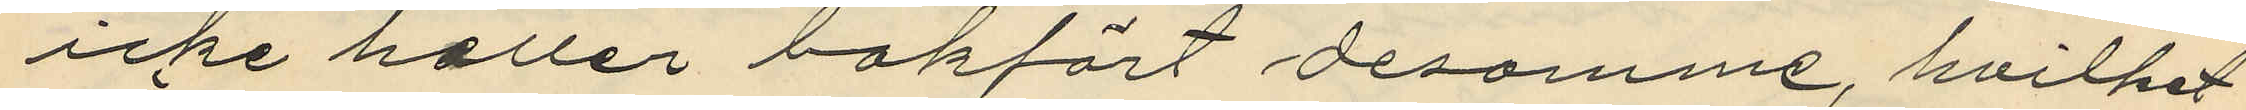icke heller bokfört desamme, hvilket
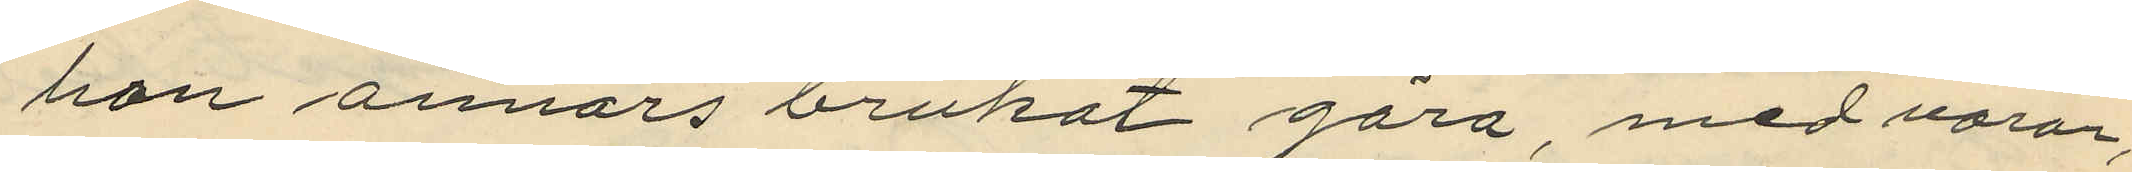han annars brukat göra med varor,
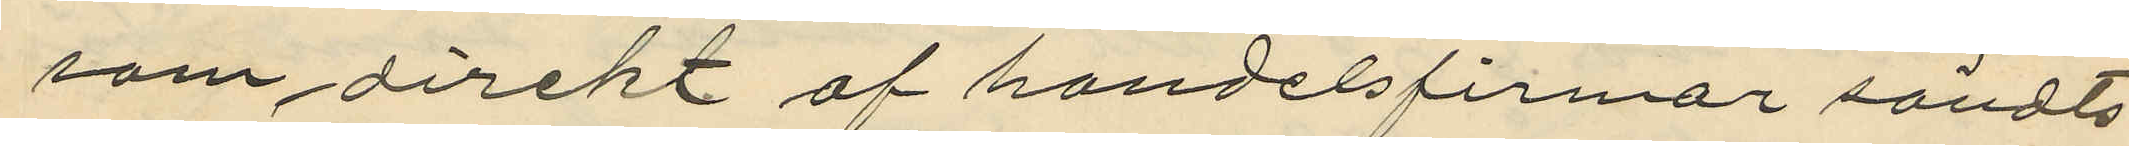som direkt af handelsfirmor sändts
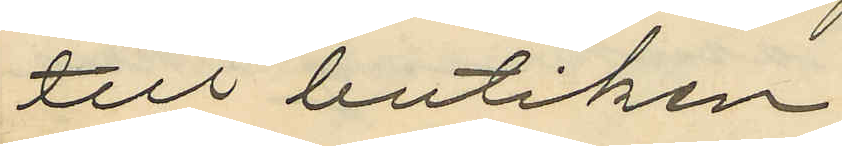till butiken
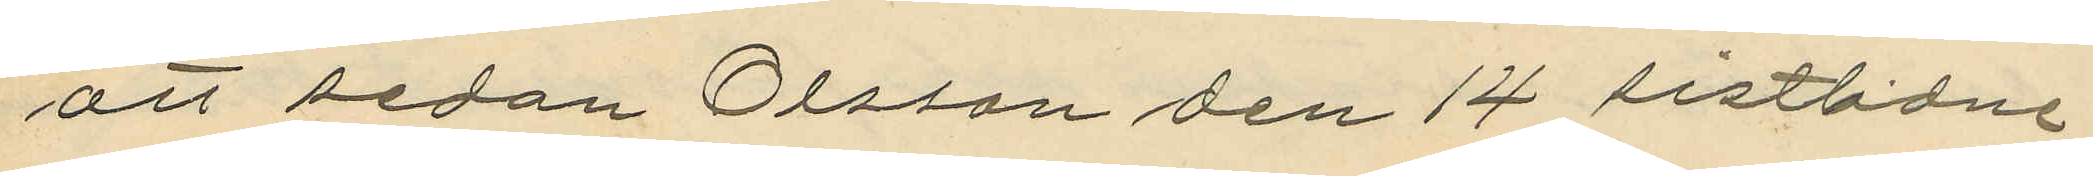att sedan Olsson den 14 sistlidne
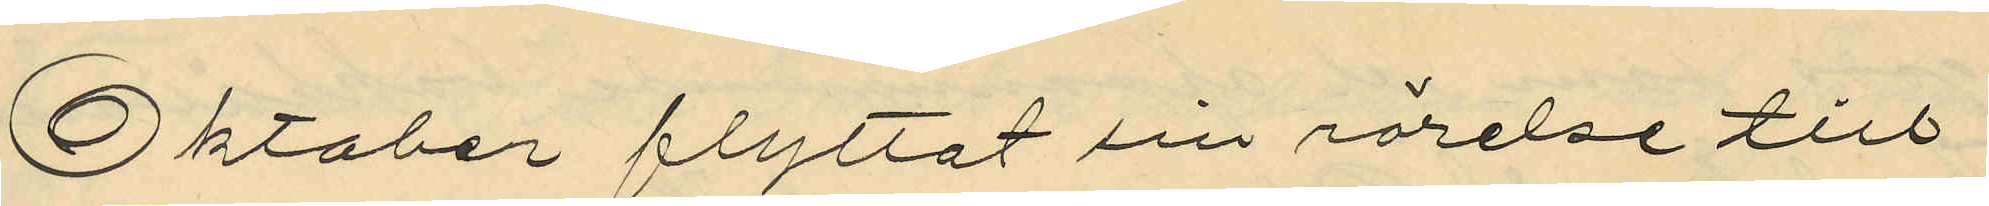Oktober flyttat sin rörelse till
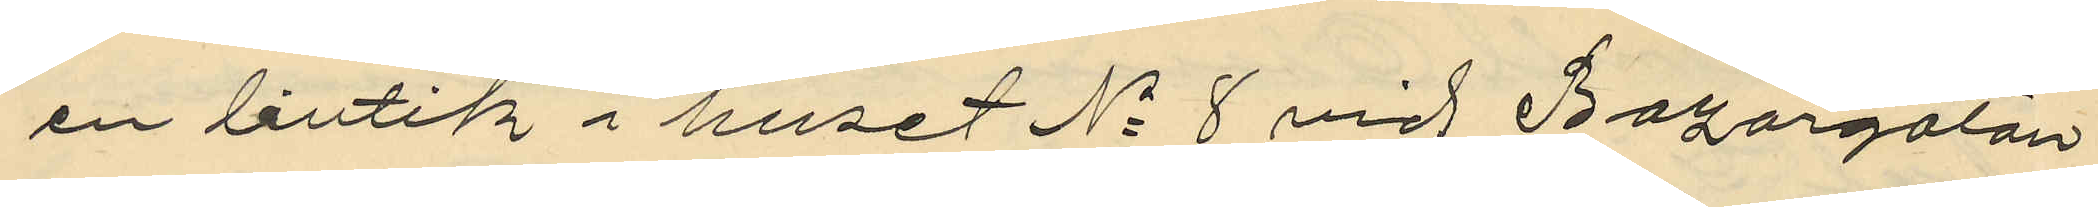en butik i huset No 8 vid Bazargatan
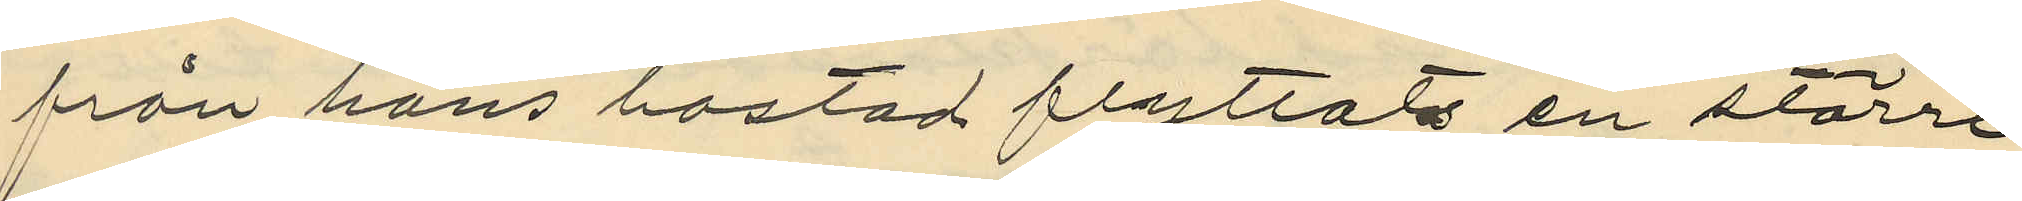från hans bostad flyttats en större
